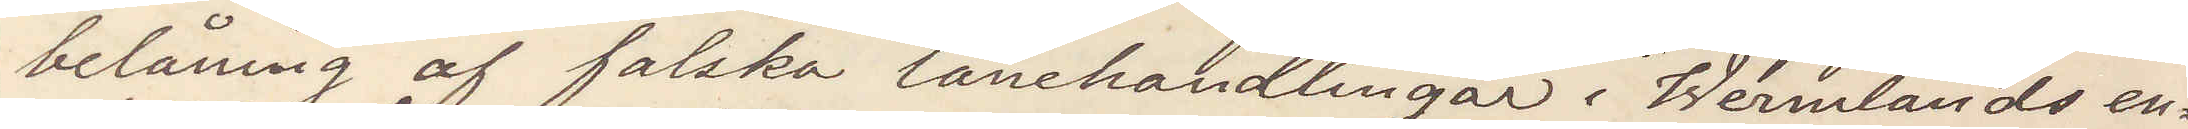belåning af falska lånehandlingar i Wermlands en¬
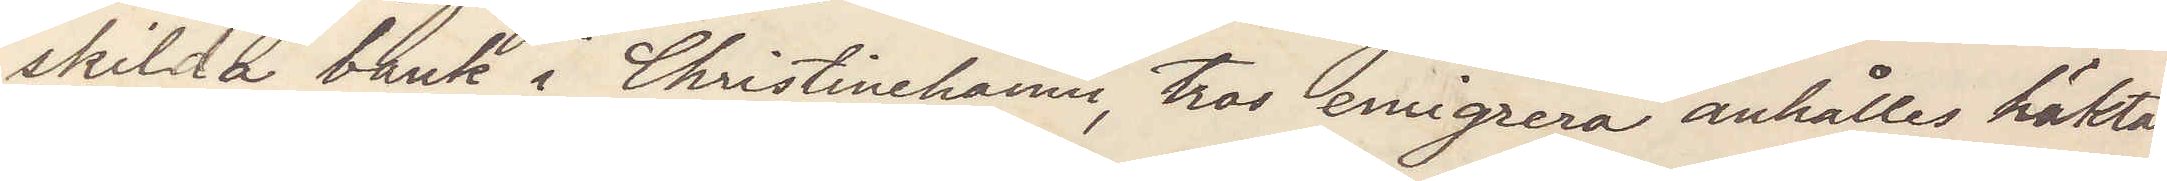skilda bank i Christinehamn, tros emigrera anhålles häktas
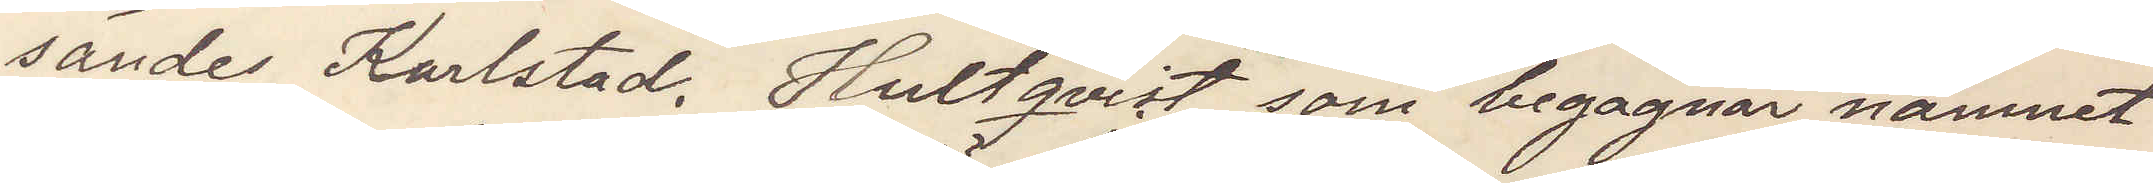sändes Karlstad. Hultqvist, som begagnar namnet
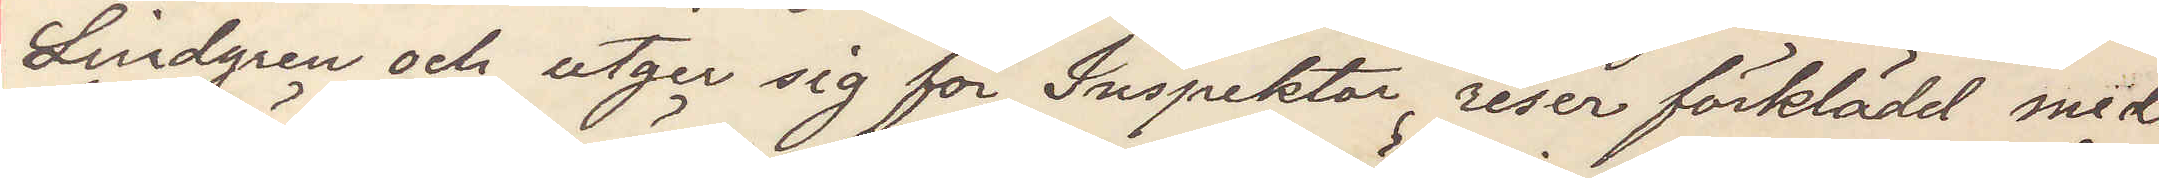Lindgren och utger sig för Inspektor reser förklädd med
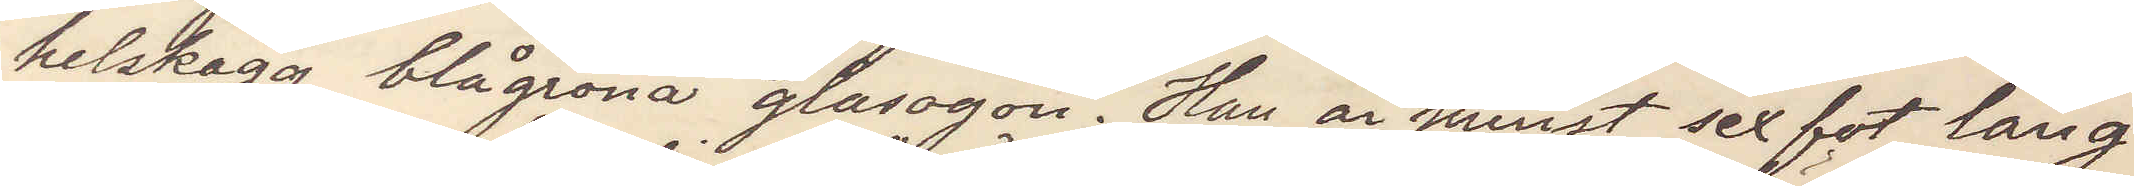helskägg blågröna glasögen. Han är minst sex fot lång
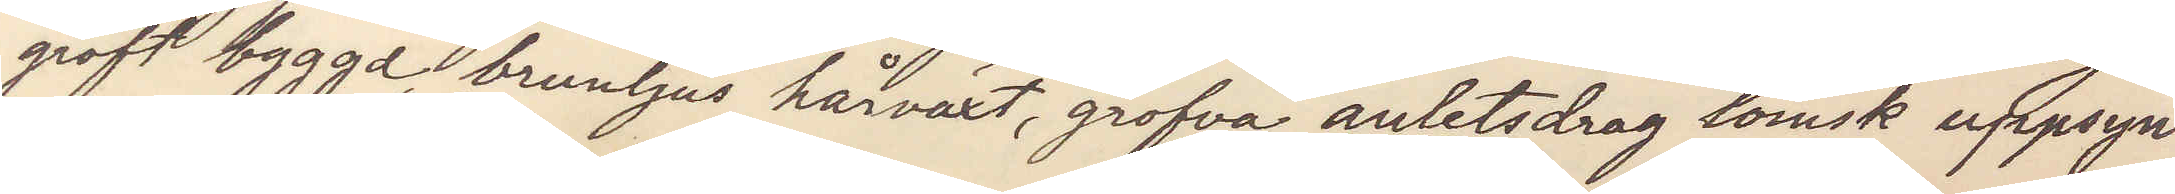groft byggd, brunljus hårväxt, grofva anletsdrag lömsk uppsyn
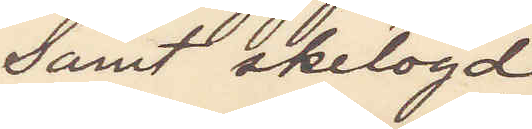samt skelögd
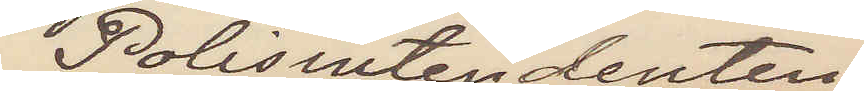Polisintendenten
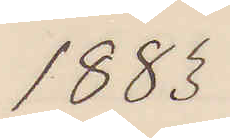1883
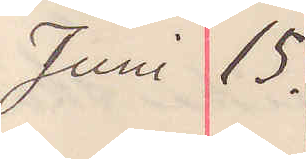Juni 15.
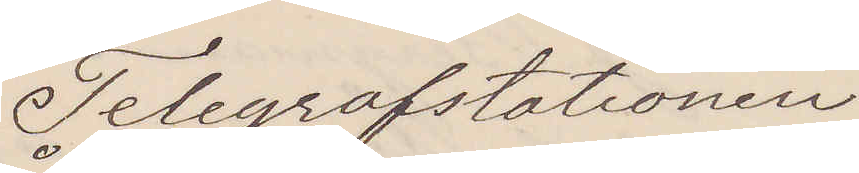Telegrafstationen
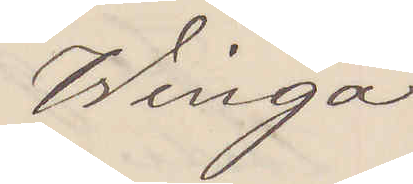Winga
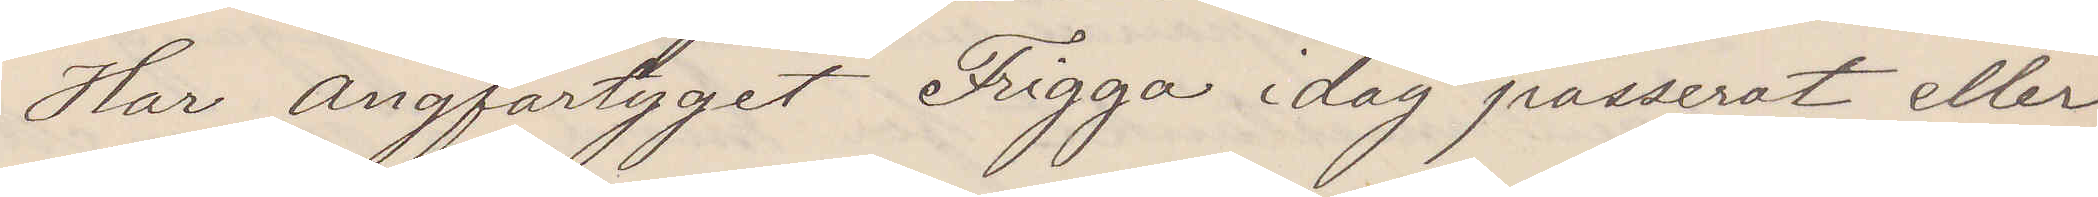Har ångfartyget Frigga idag passerat eller
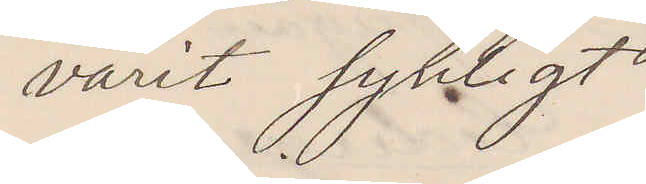varit synligt
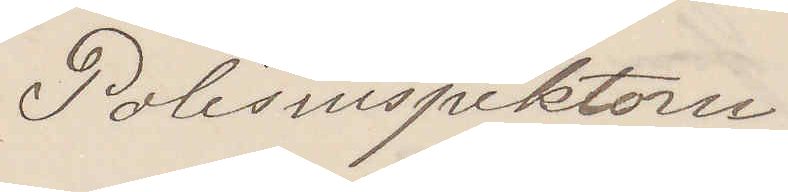Polisinspektorn
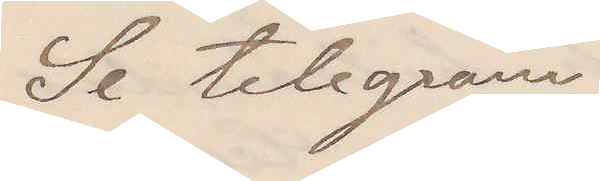Se telegram
